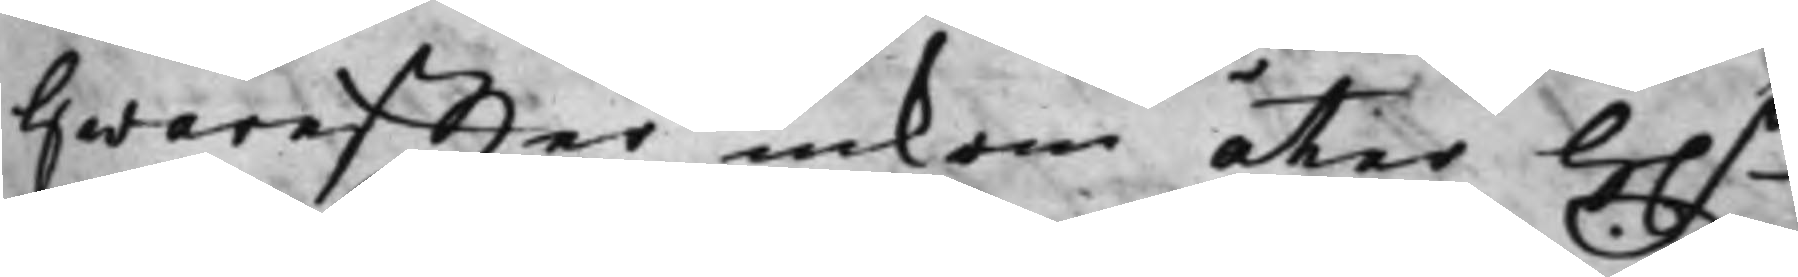Hwareffter inkom åter h.r
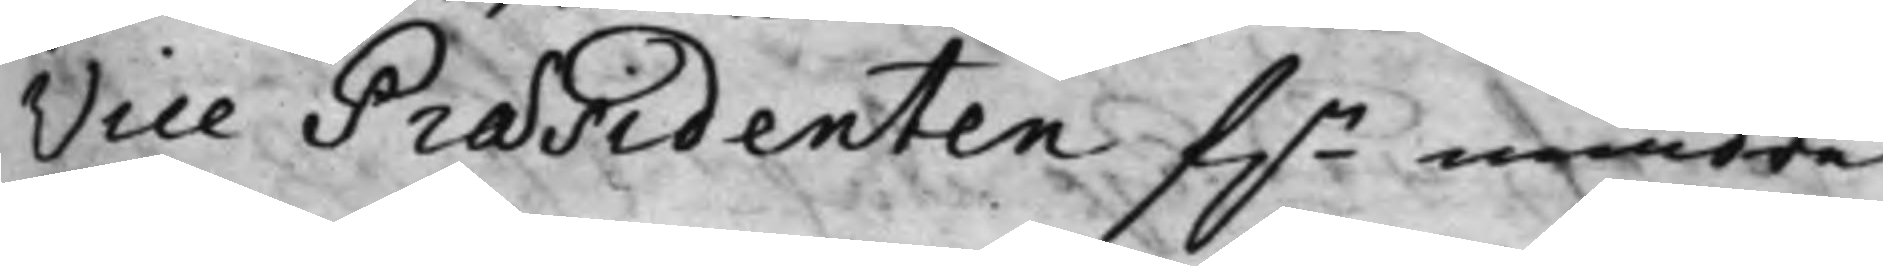Vice Præsidenten f.n mindre
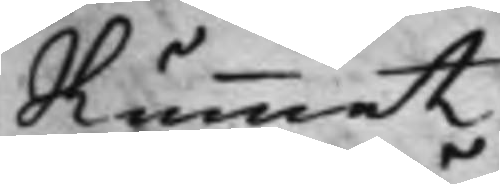Rummet,
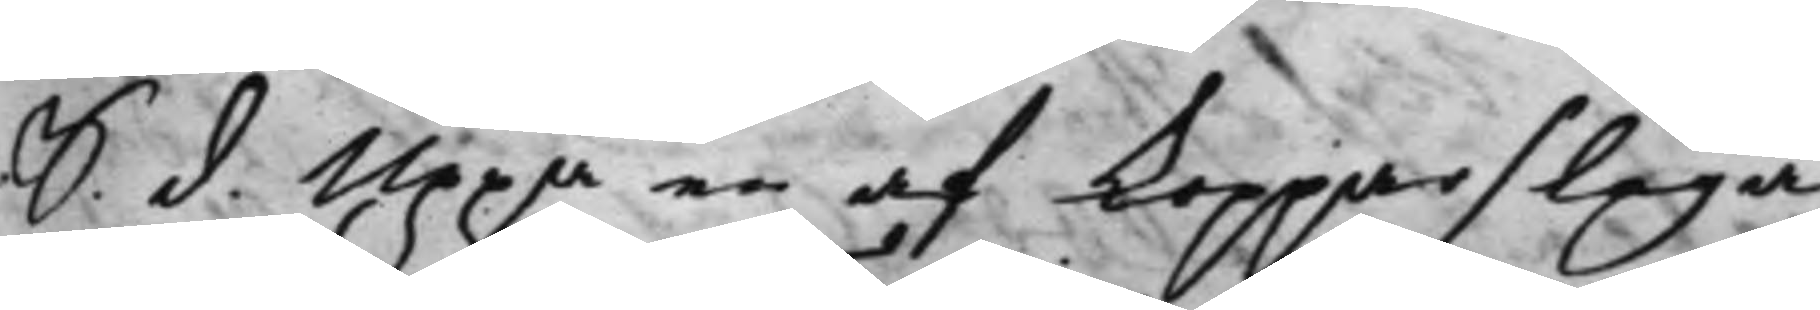S. d. Uppå en af Kopparslaga¬
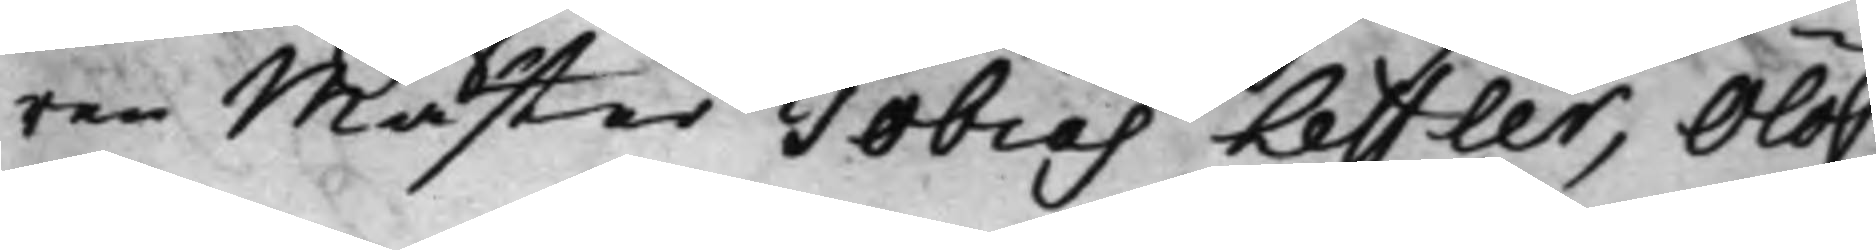ren Mäster Tobias Leffler, Olof
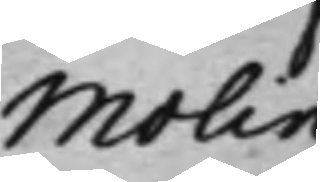Molin
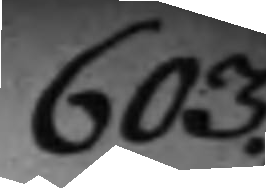603.
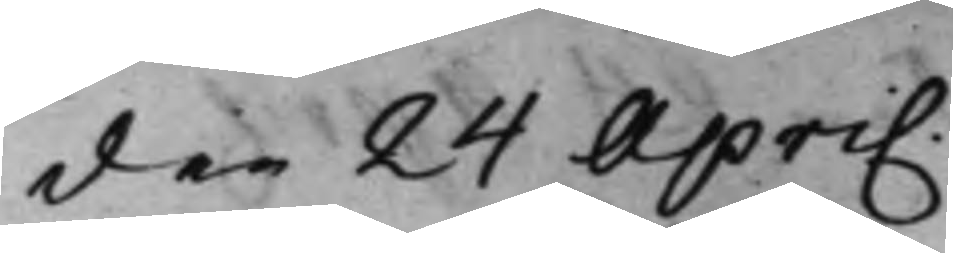den 24 April
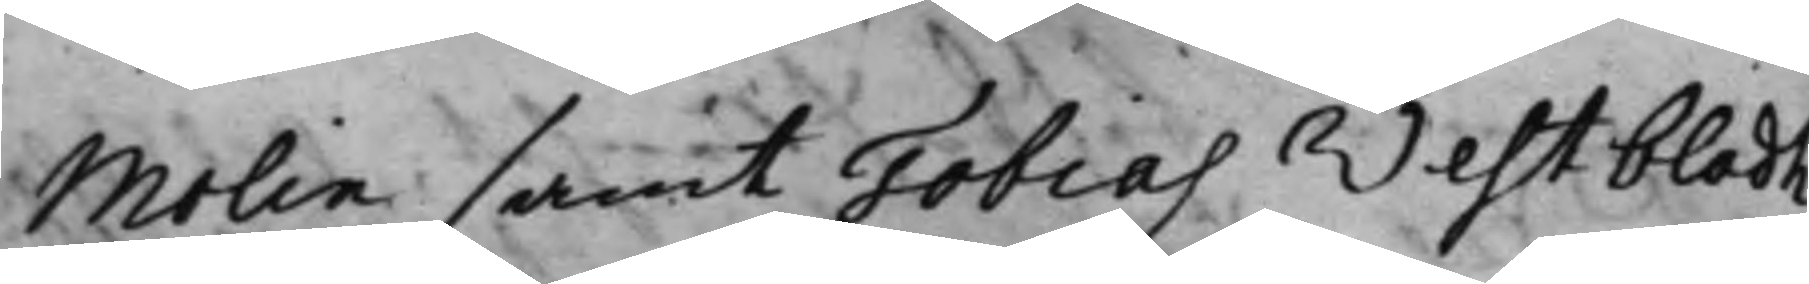Molin samt Tobias Westbladh
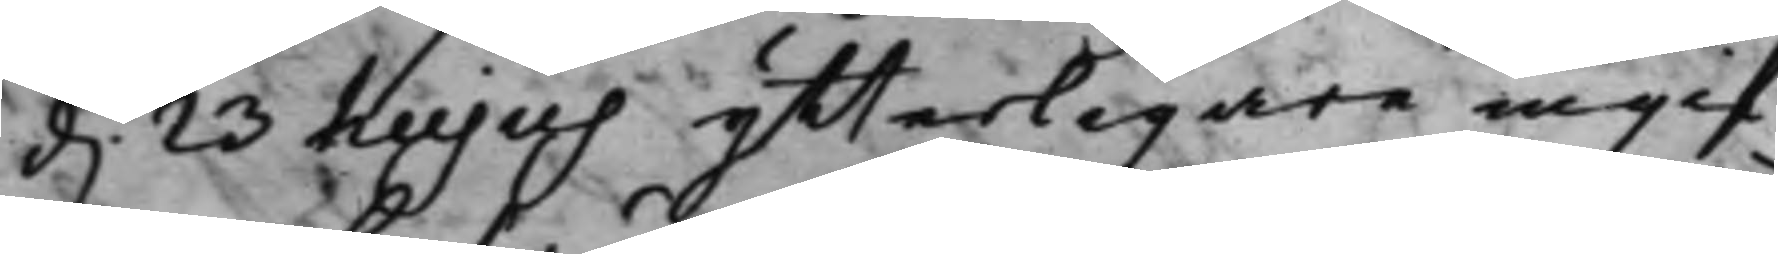d. 23 hujus ytterligare ingif¬
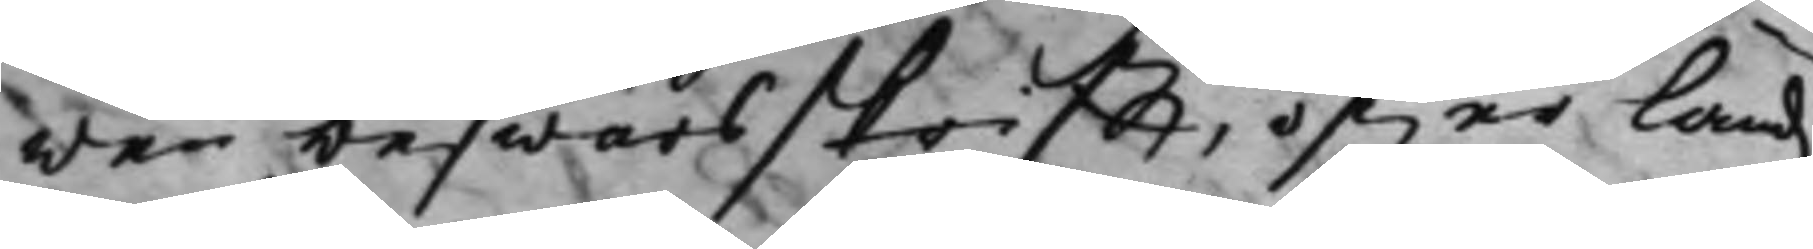wen beswärsskrifft, öfwer Landz¬
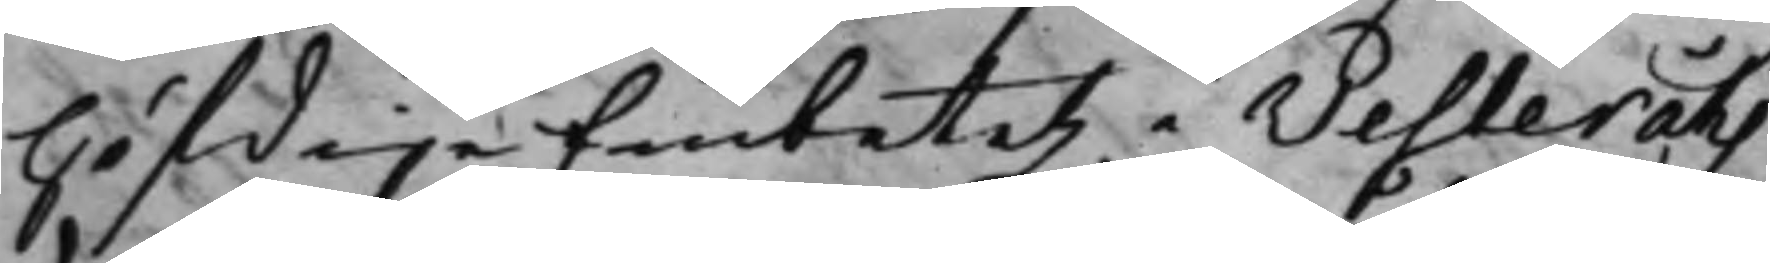höfdigeEmbetetz i Westeråhs
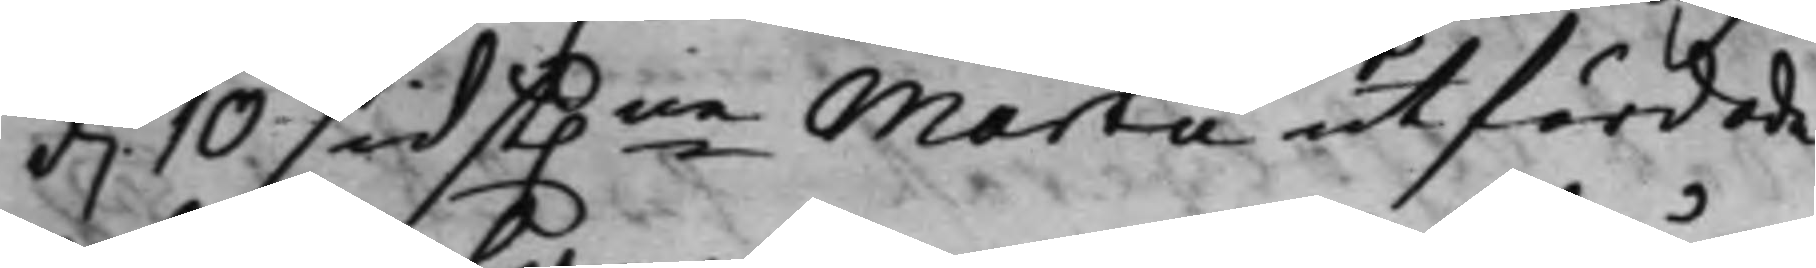d. 10 sidst.ne Martii utfärdade
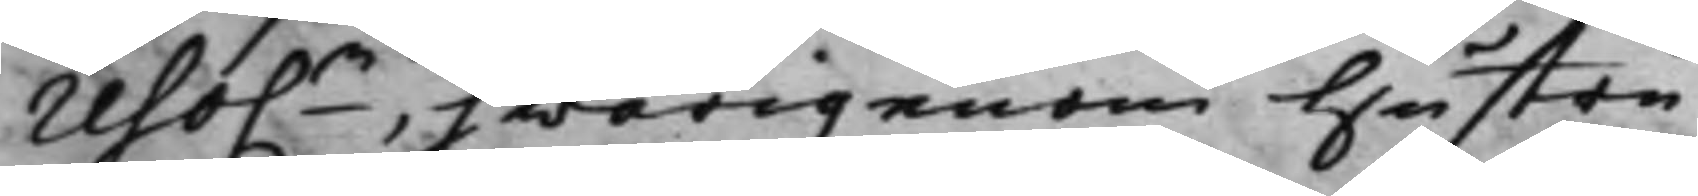reso.n, hwarigenom hustru
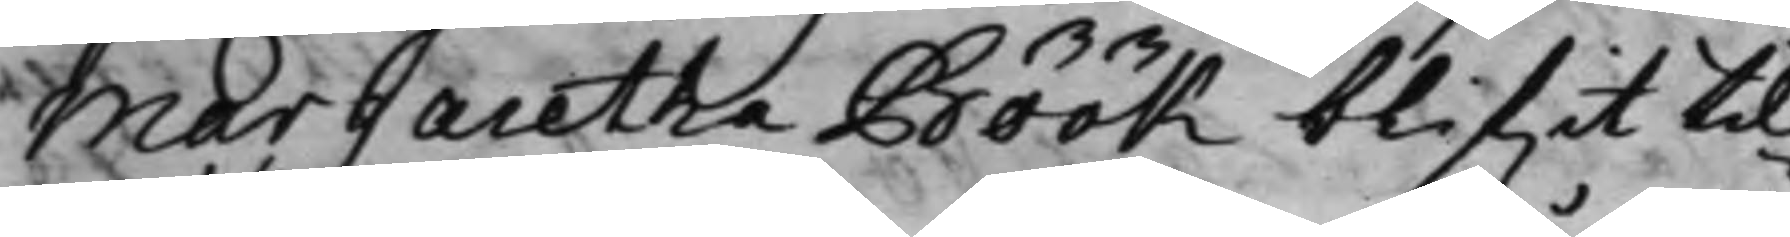Margaretha Böök blifwit til¬
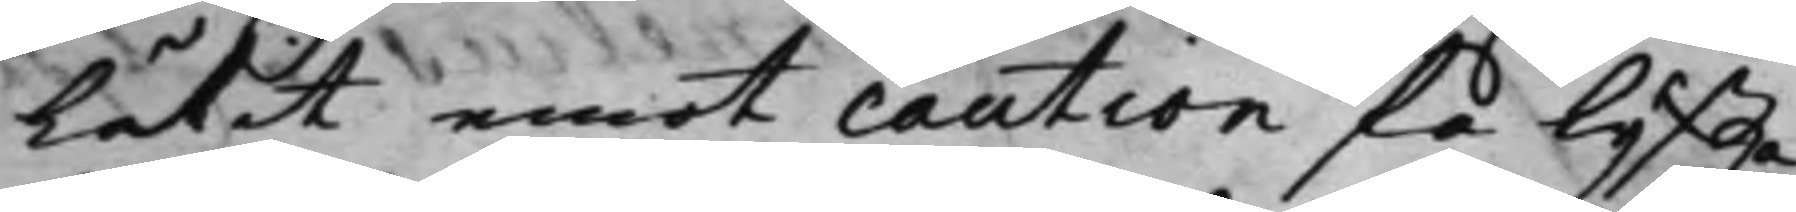Låtit emot caution få lyffta
